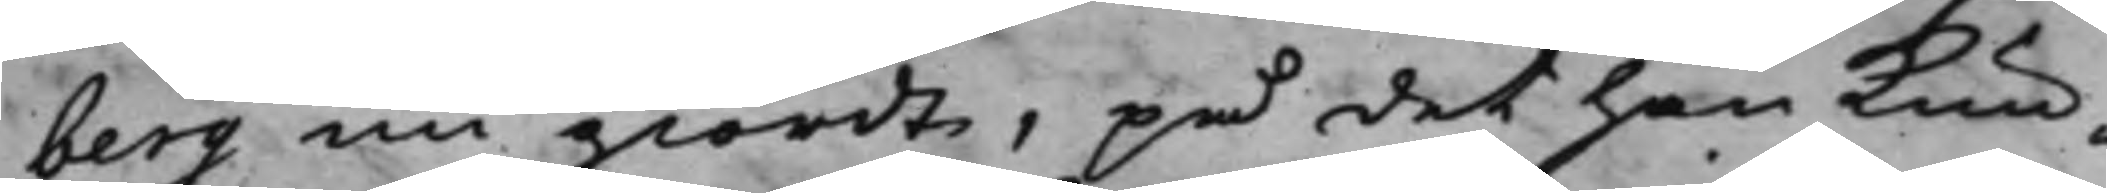berg nu giordt, på det han Kun¬
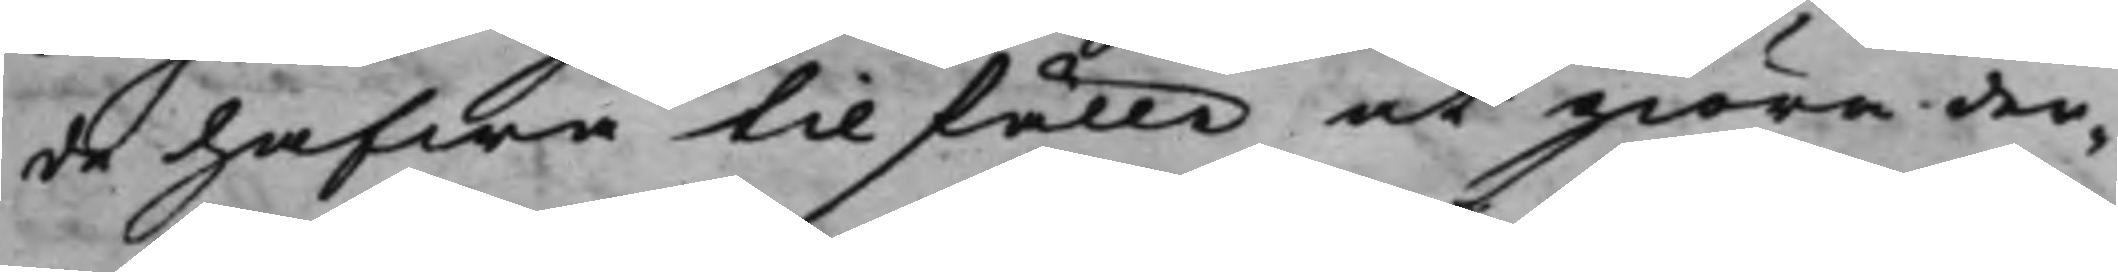de hafwa tilfälle at giöra der¬
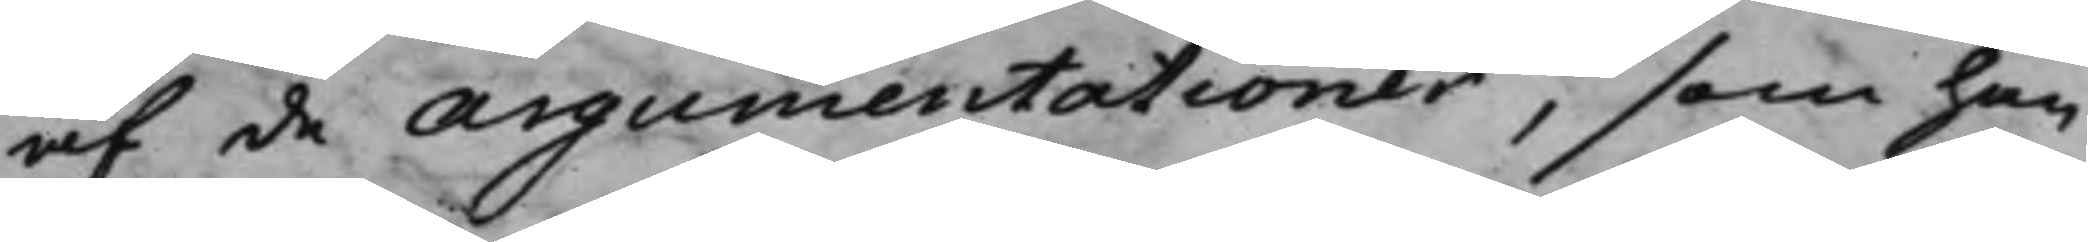af de Argumentationer, som han
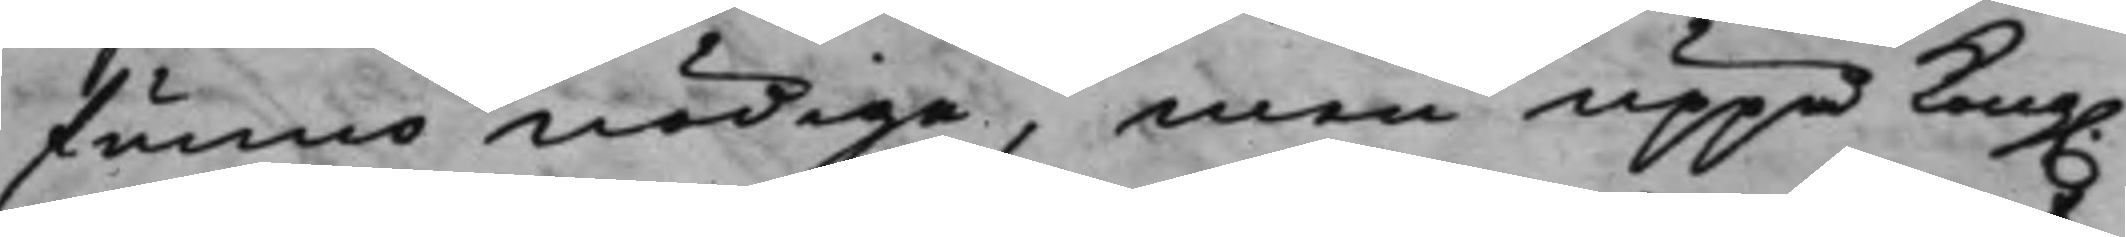funno nödiga, men uppå Kong.
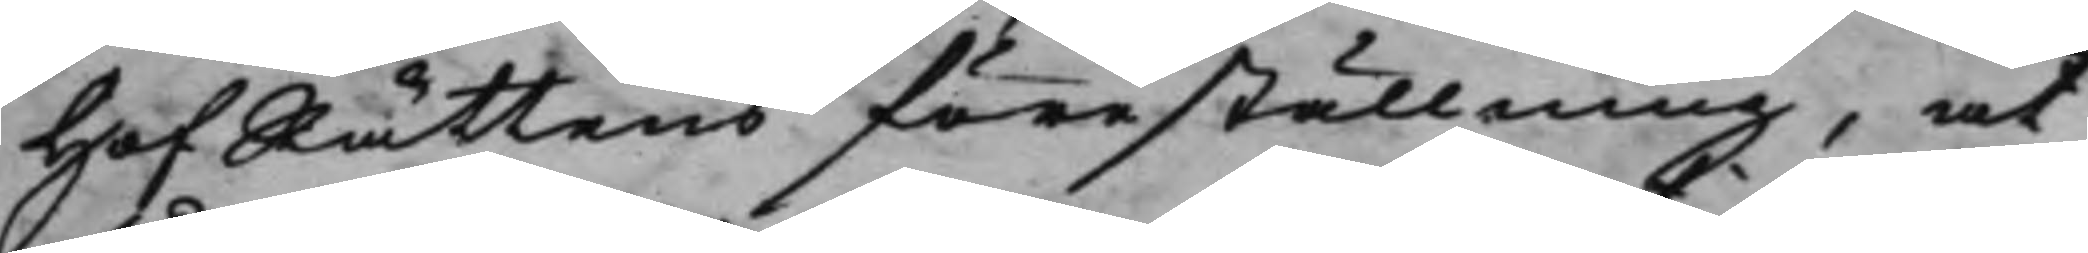HofRättens föreställning, at
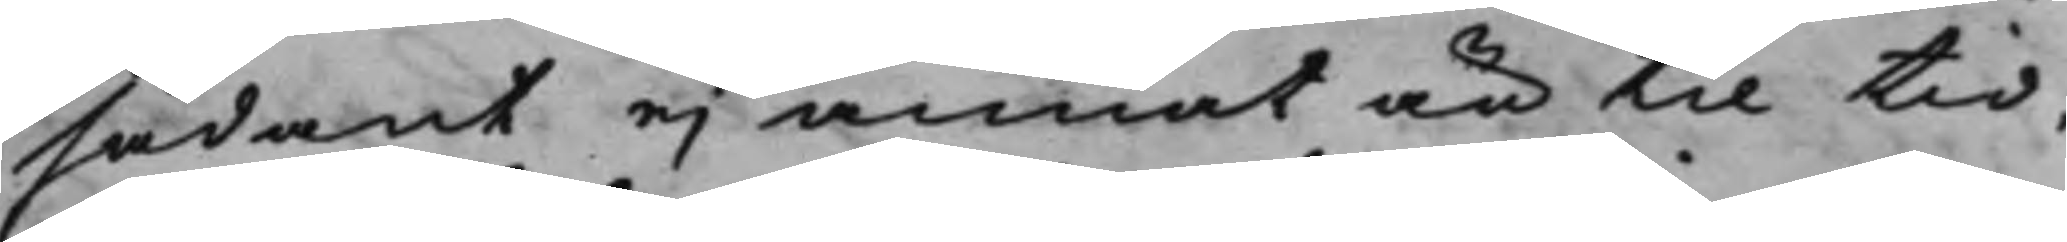sådant ej annat än til tid¬
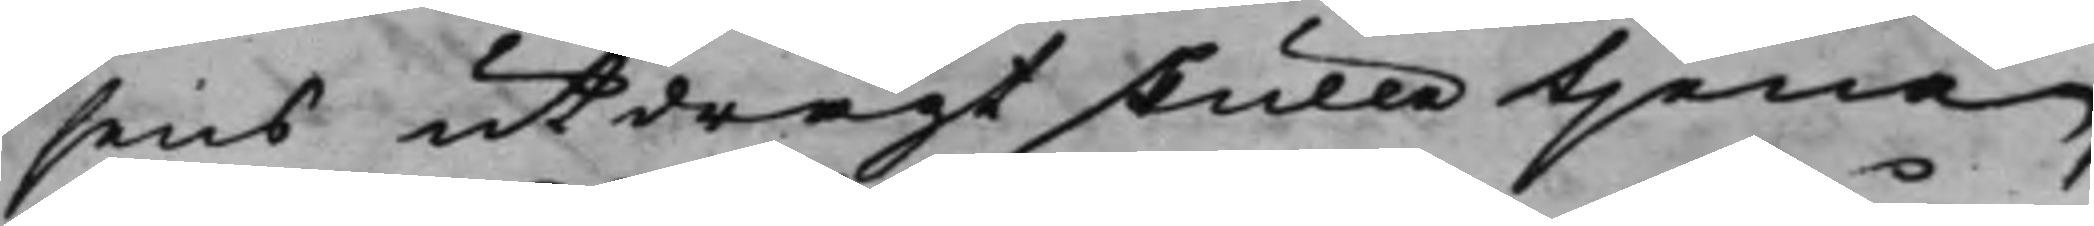sens utdrägt skulle tjena,
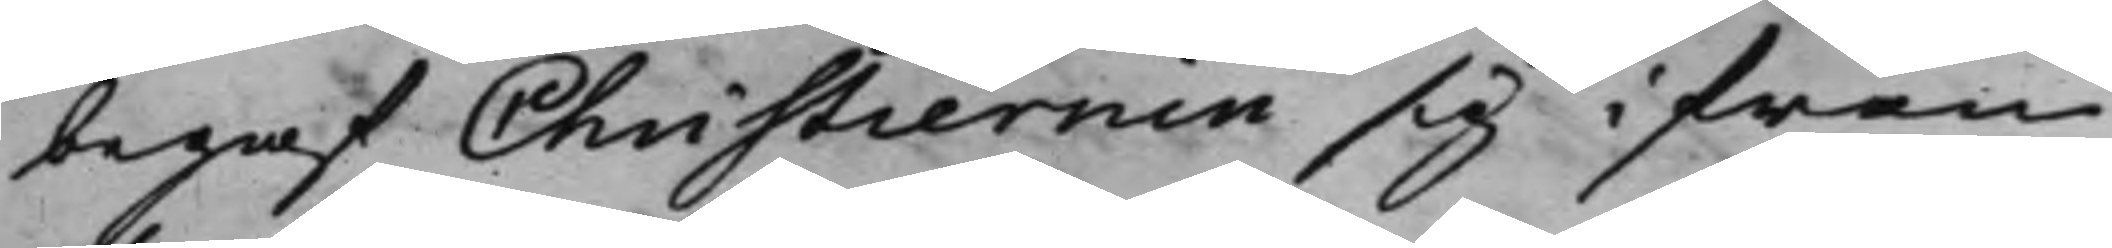begaf Christiernin sig ifrån
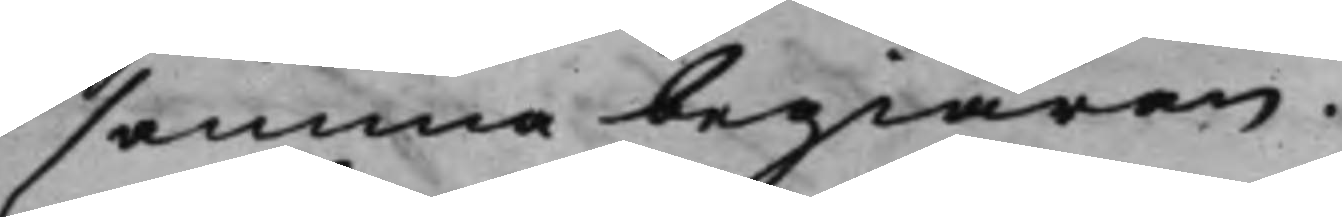samma begiäran.
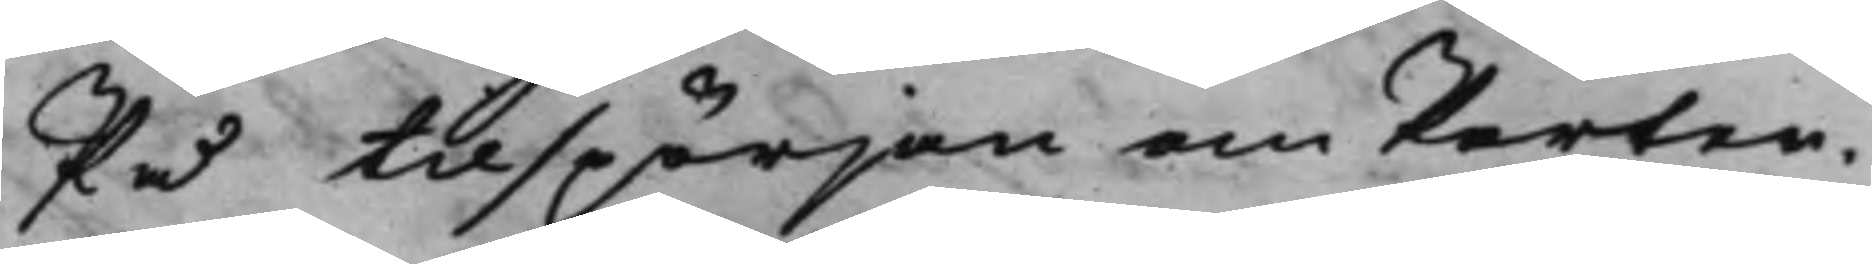På tilspörjan om Parter¬
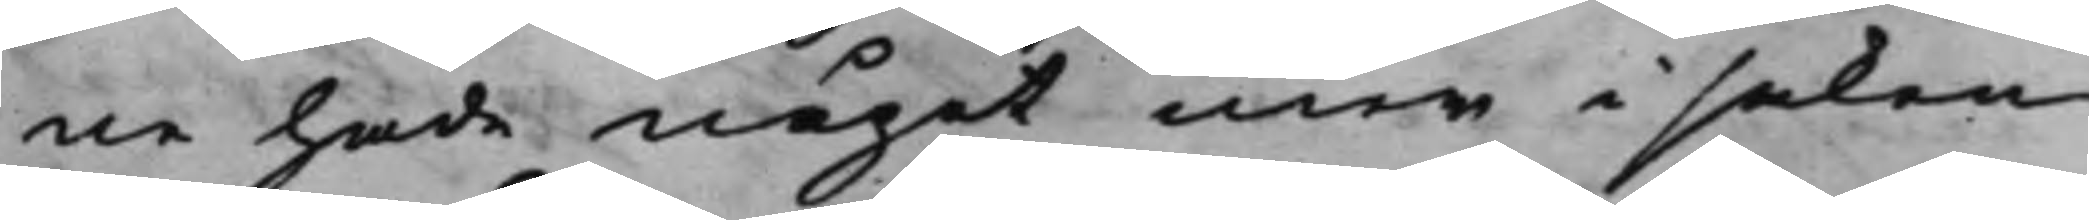ne hade något mer i saken
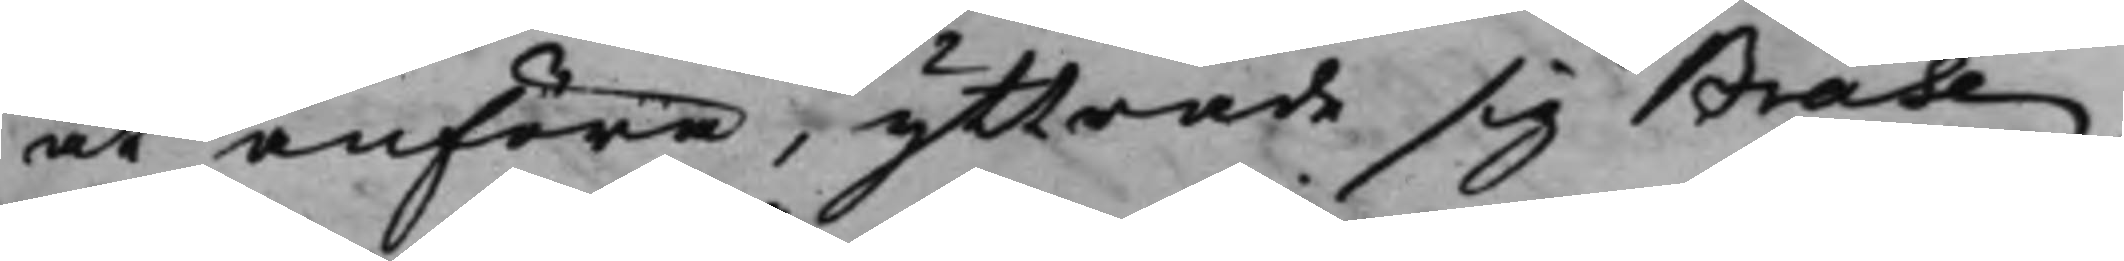at anföra, yttrade sig Brase,
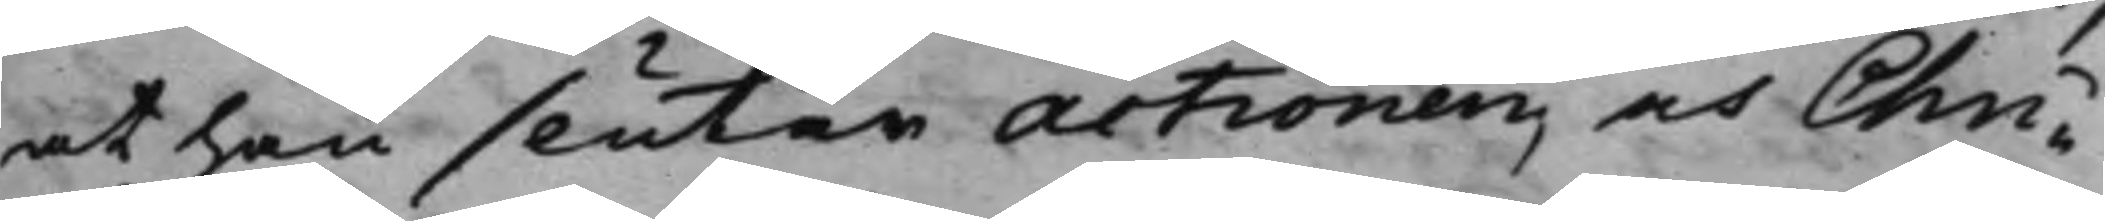at han slutar Actionen, och Chri¬
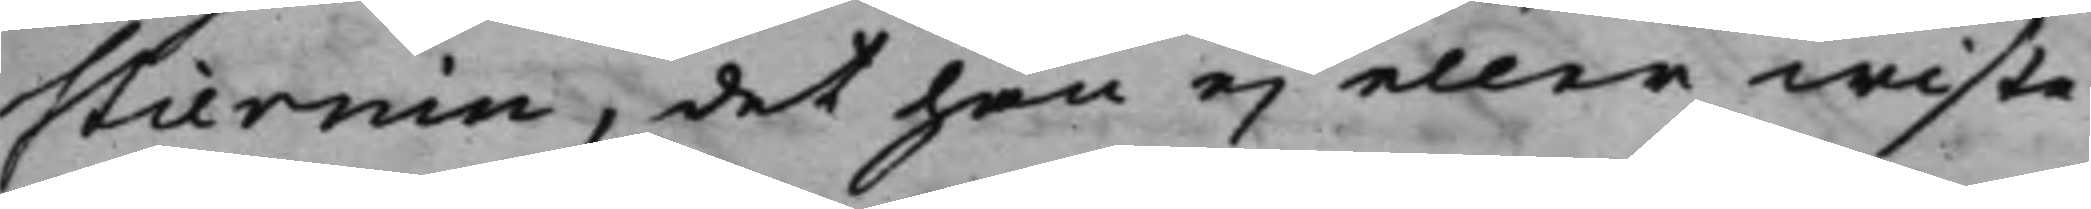stiernin, det han ej eller wiste
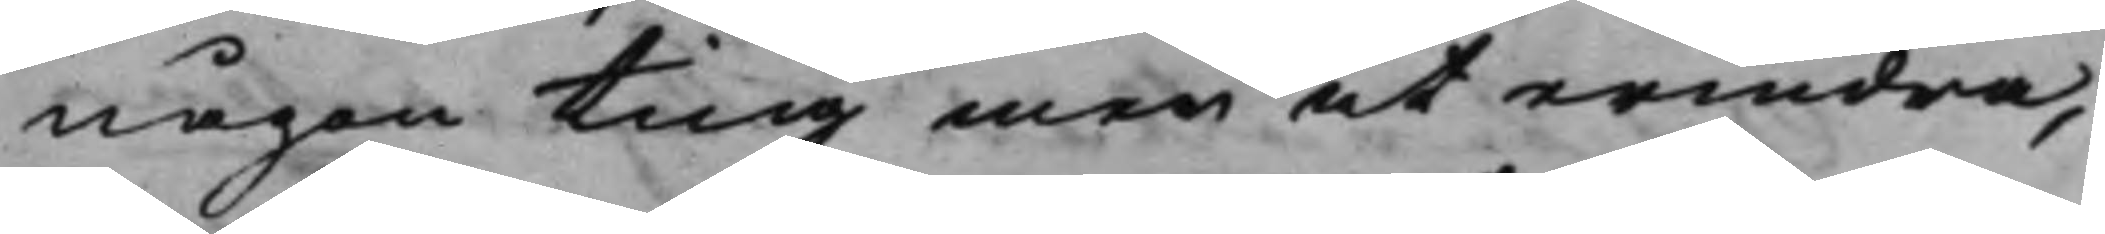någon ting mer at erindra,
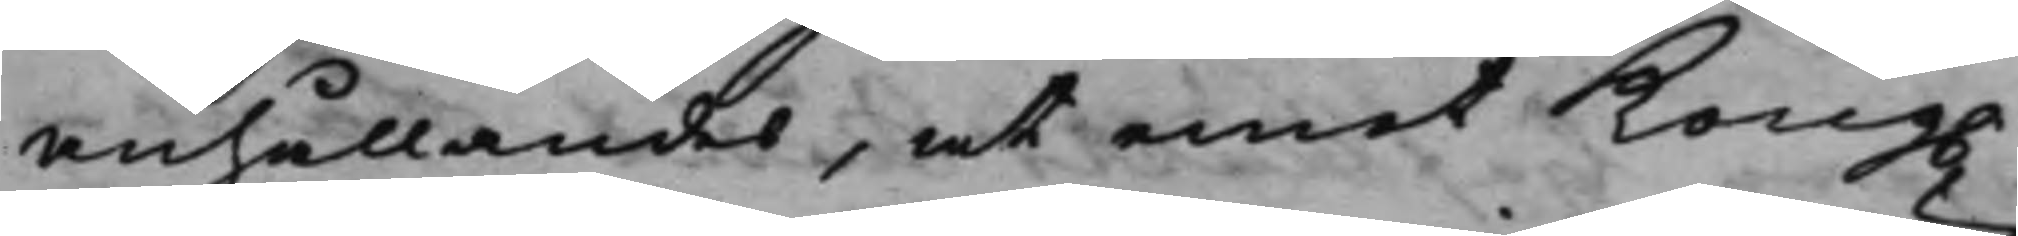anhållandes, at emot Kong.
